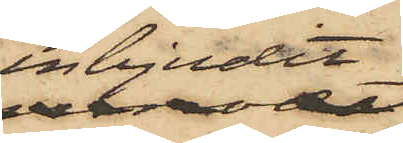inbjudit
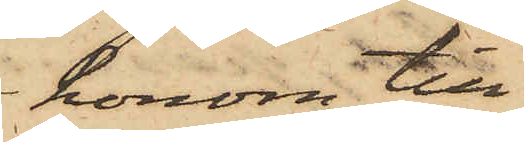honom till
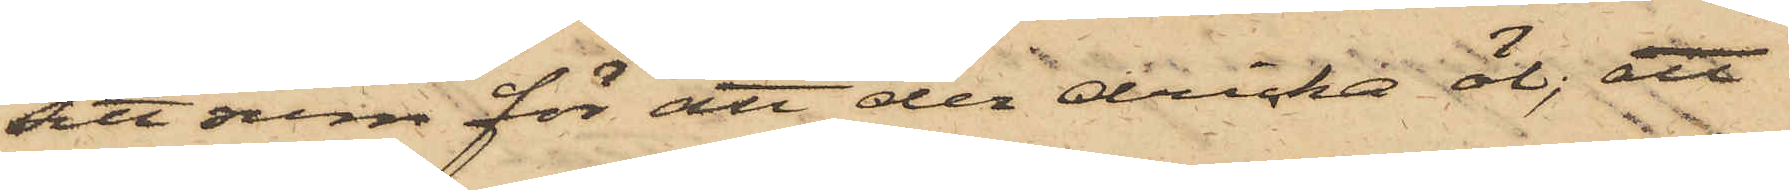sitt rum för att der dricka öl; att
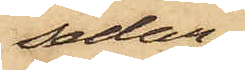sedan
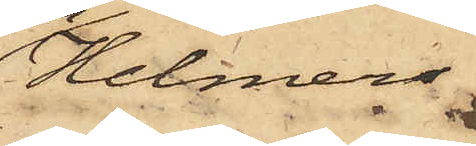Helmer
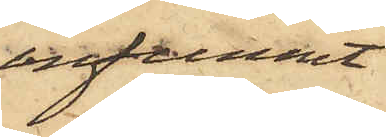infunnit
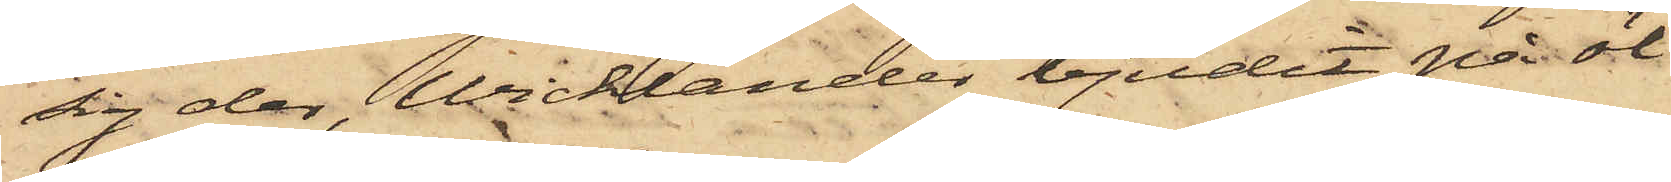sig der, Wicklander bjudit på öl
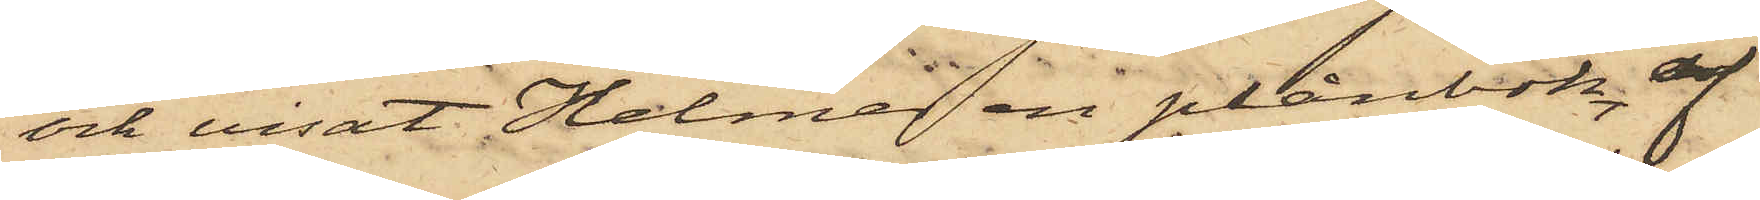och visat Helmer en plånbok af
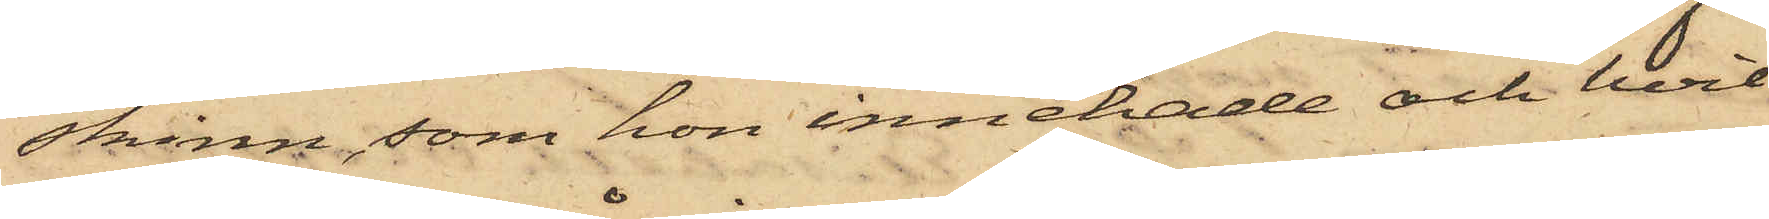skinn, som hon innehade och hvil¬
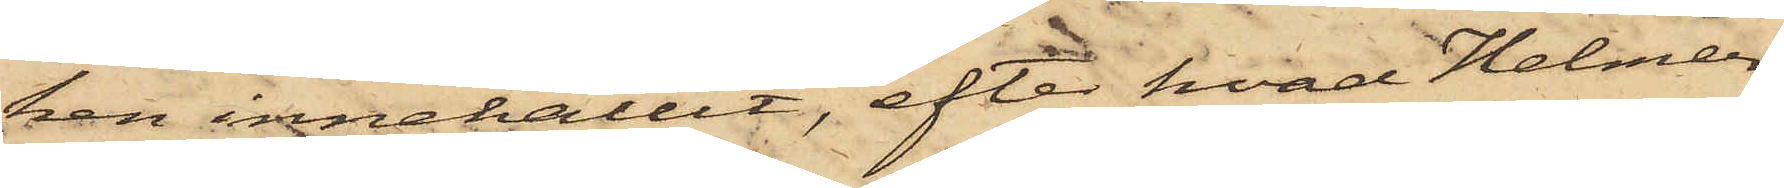ken innehållit, efter hvad Helmer
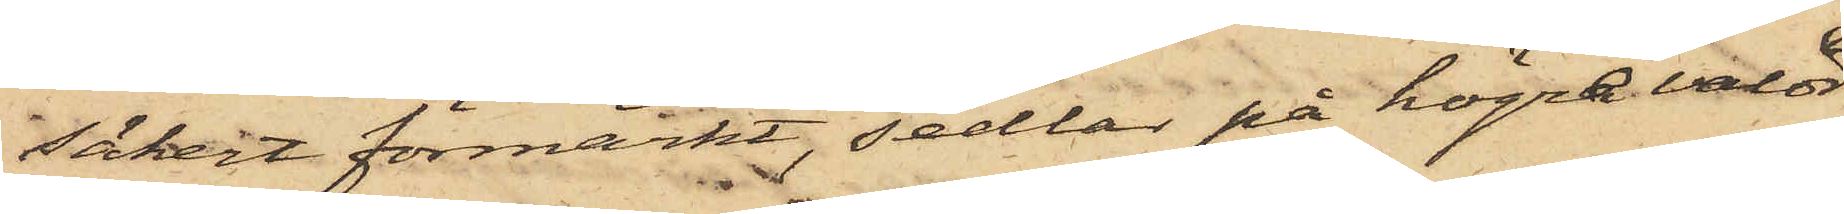säkert förmärkt, sedlar på högre valör
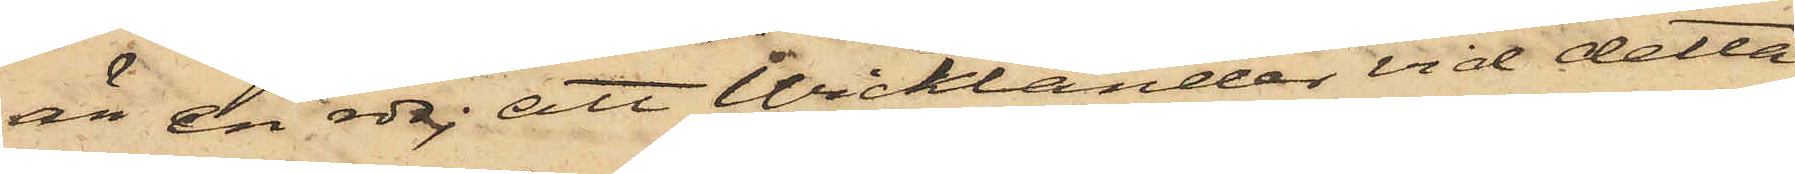än en rdr; att Wicklander vid detta
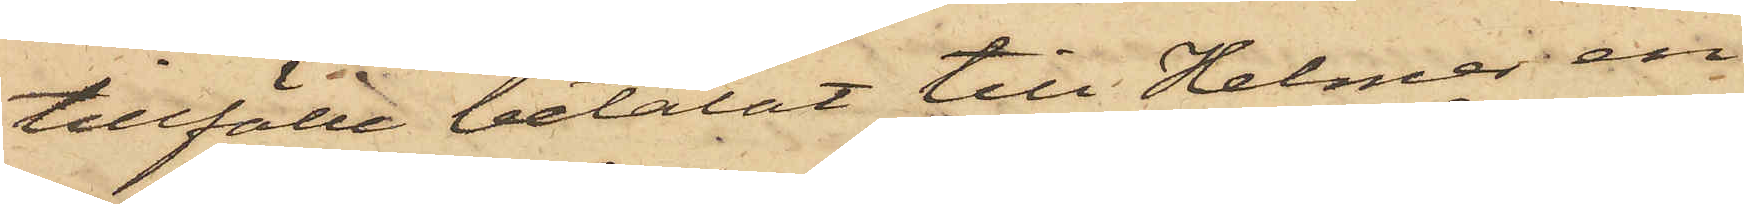tillfälle betalat till Helmer en
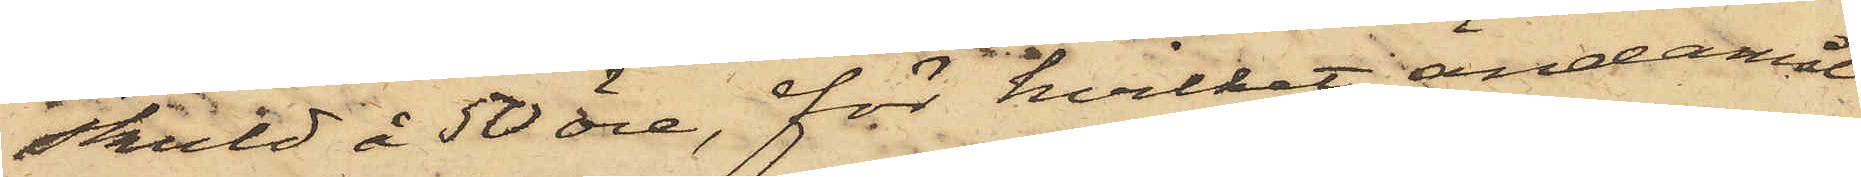skuld å 50 öre, för hvilket ändamål
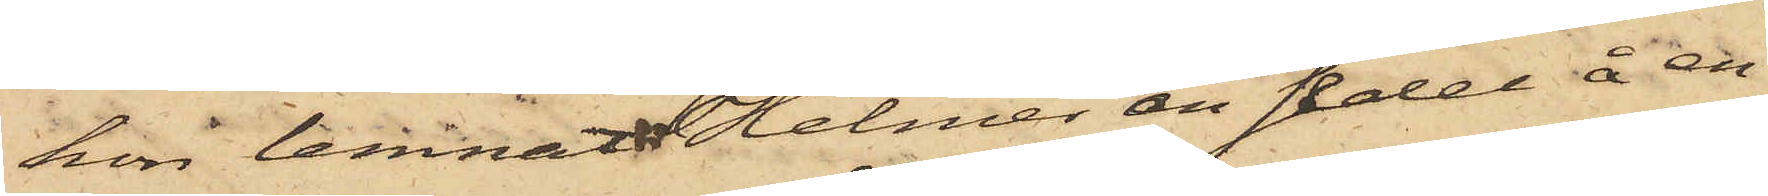hon lemnat Helmer en sedel å en
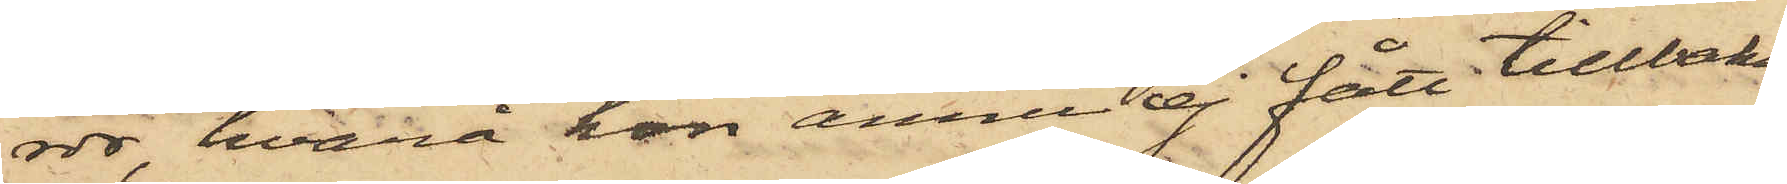rdr, hvarå hon ännu ej fått tillbaka;
